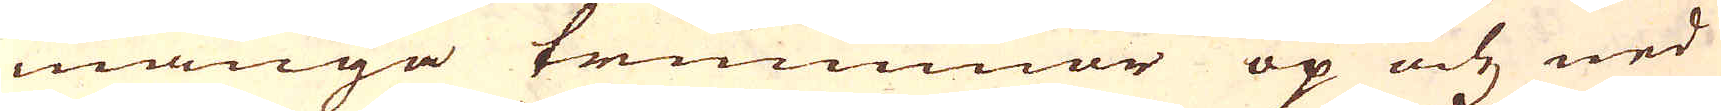många trummar op och ned
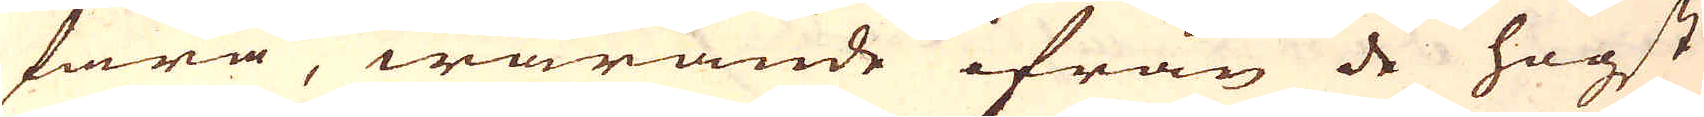fara, warande ifrån de högst
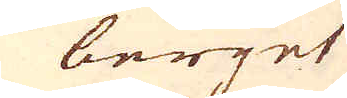i berget
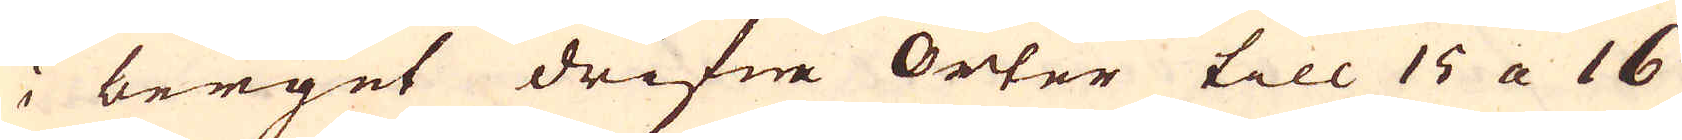i berget drifne Orter till 15 a 16
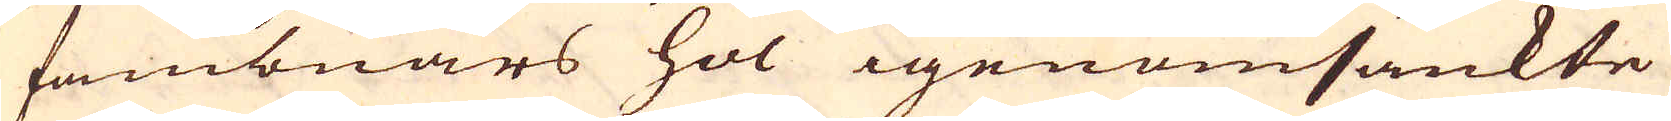fambnars hol igenomsänkte
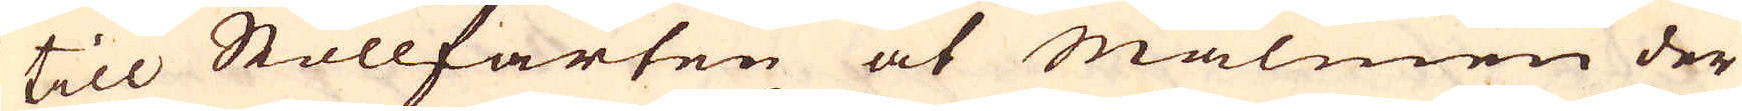till Stollfarten at Malmen der
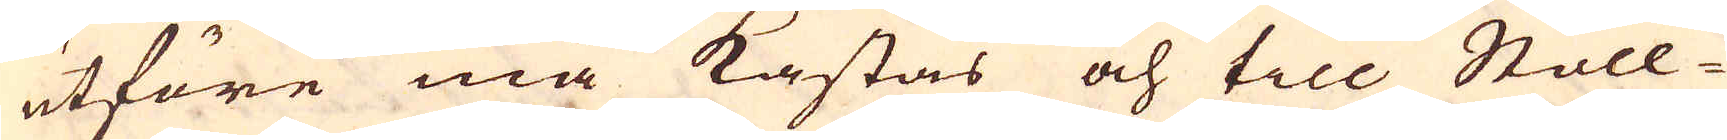utföre må kastas och till Stoll-
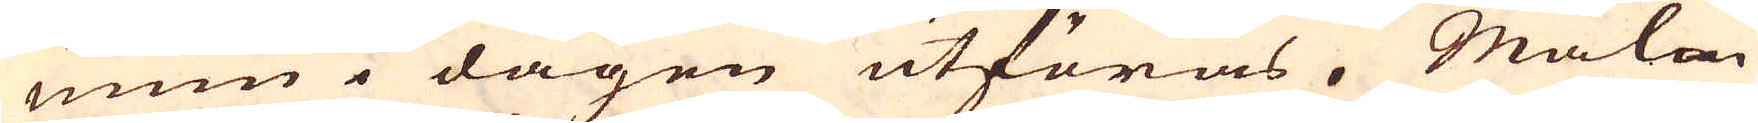rum i dagen utföras. Malm
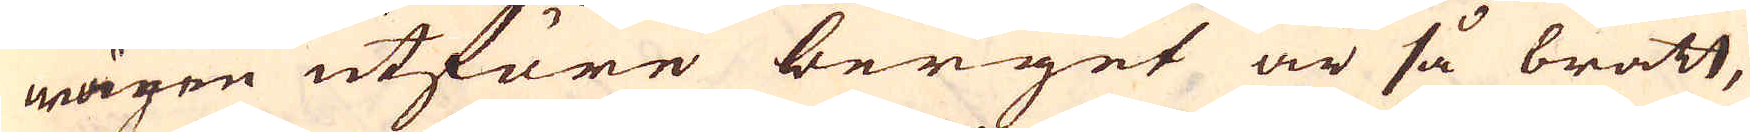wägen utföre berget är så bratt,
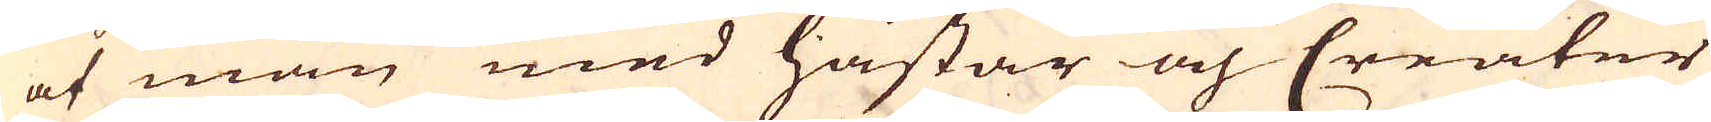af man med hästar och Creatur
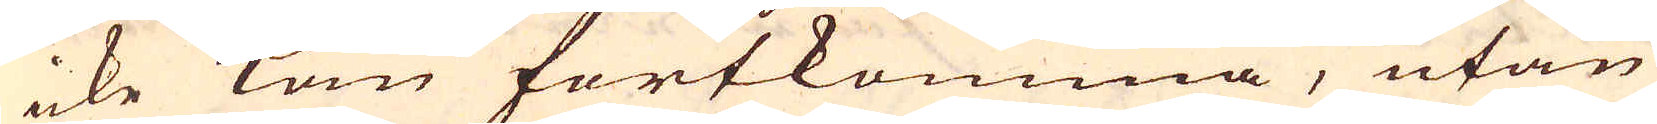icke kan fortkomma, utan
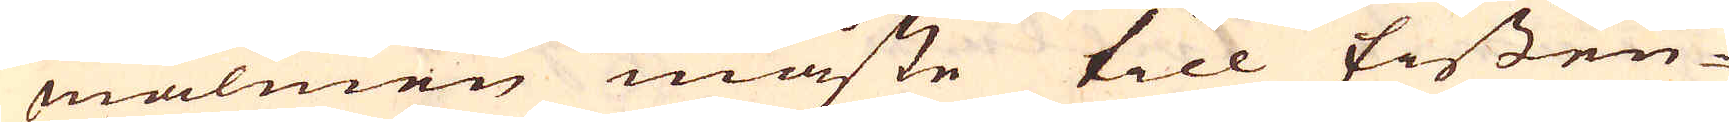malmen måste till Eissen-
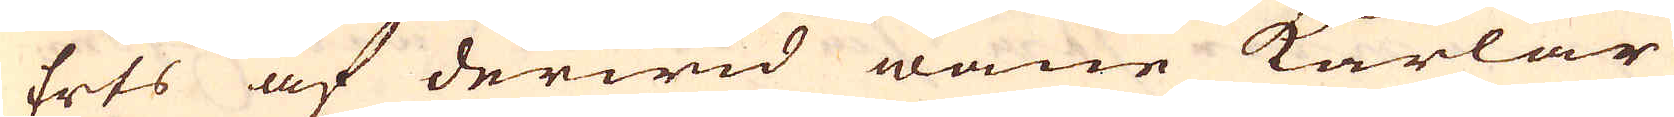Erts af derwid wane karlar
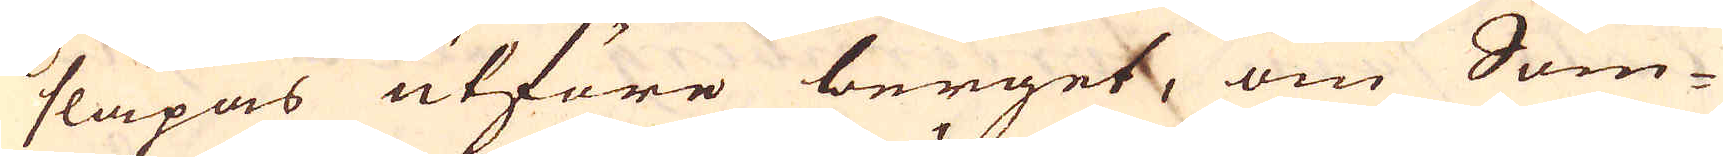släpas utföre berget, om Som-
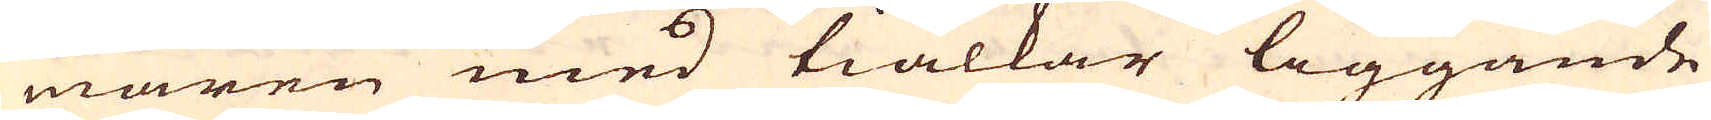maren med tiälkar liggande
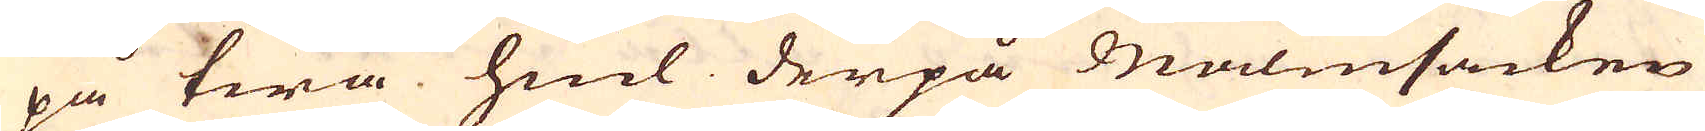på twå hiul derpå Malmsäcken
